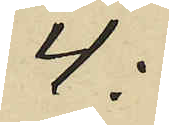4:
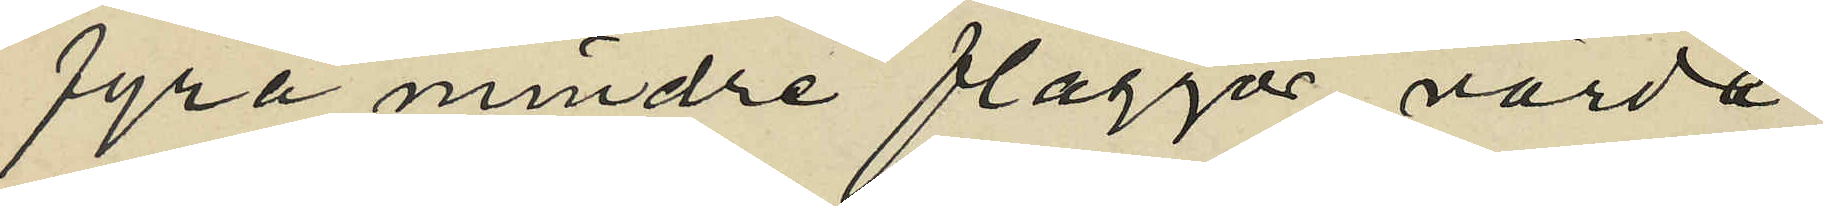fyra mindre flaggor värda
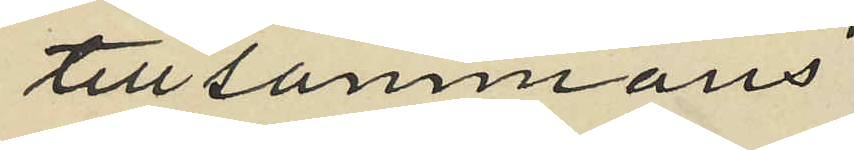tillsammans
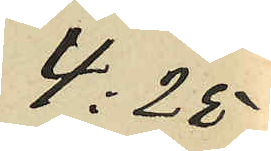4:25
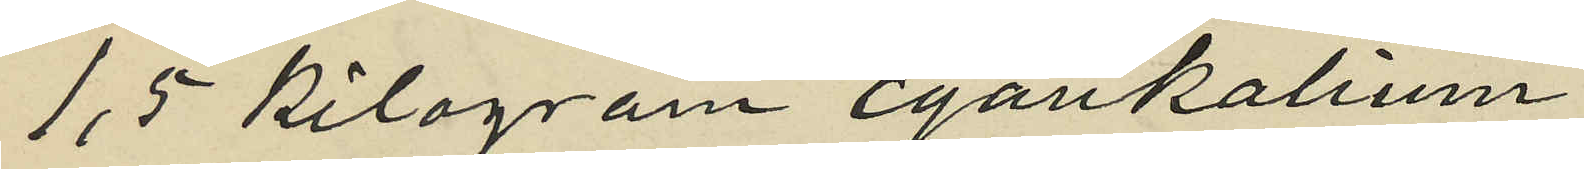1,5 kilogram cyankalium
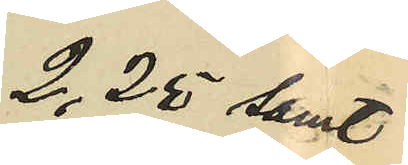2,25 samt
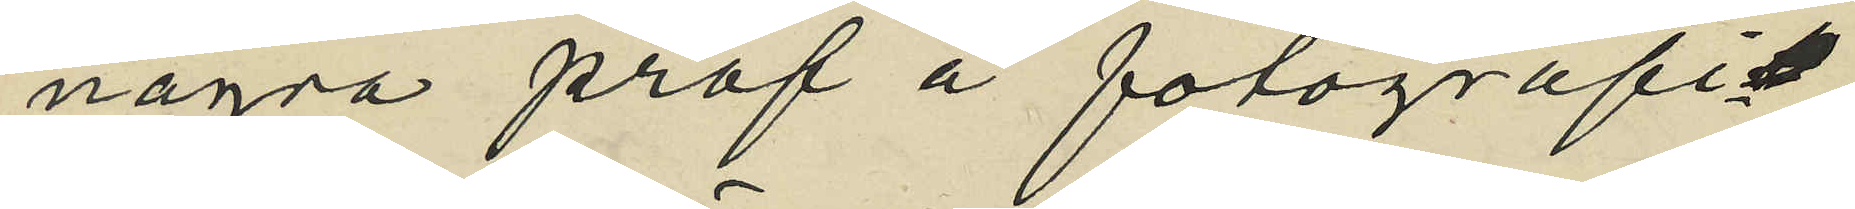några prof å fotografi¬
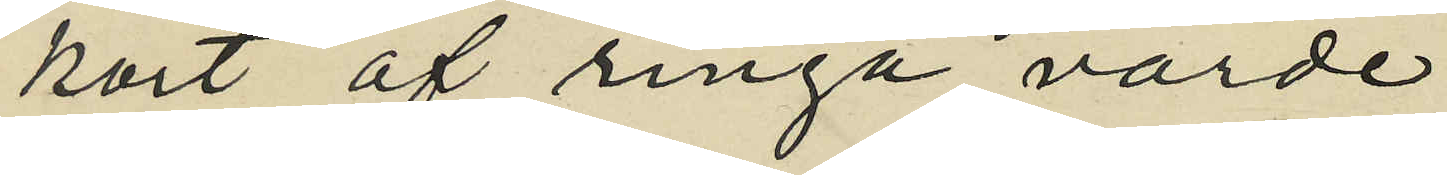kort af ringa värde
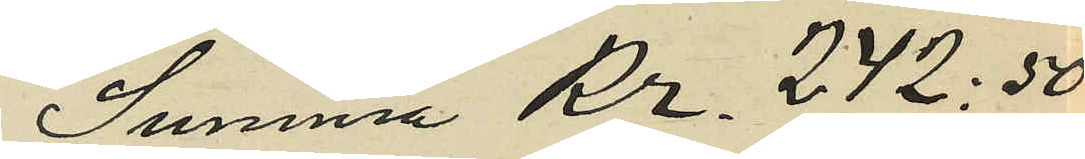Summa Kr. 242:50
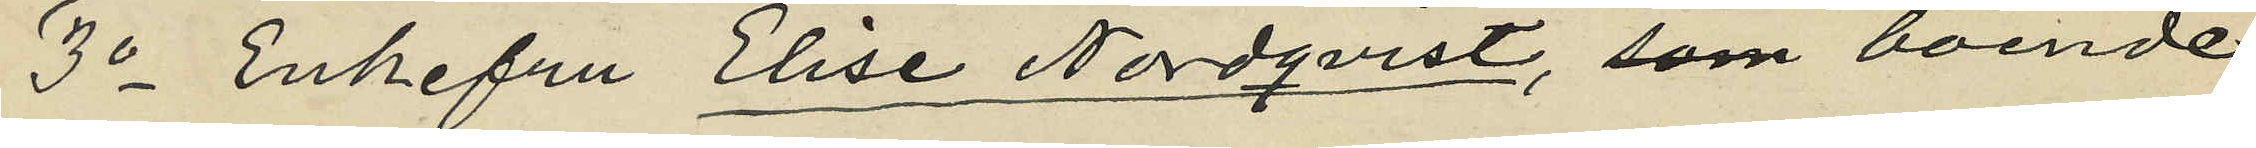3o Enkefru Elise Nordqvist, som boende
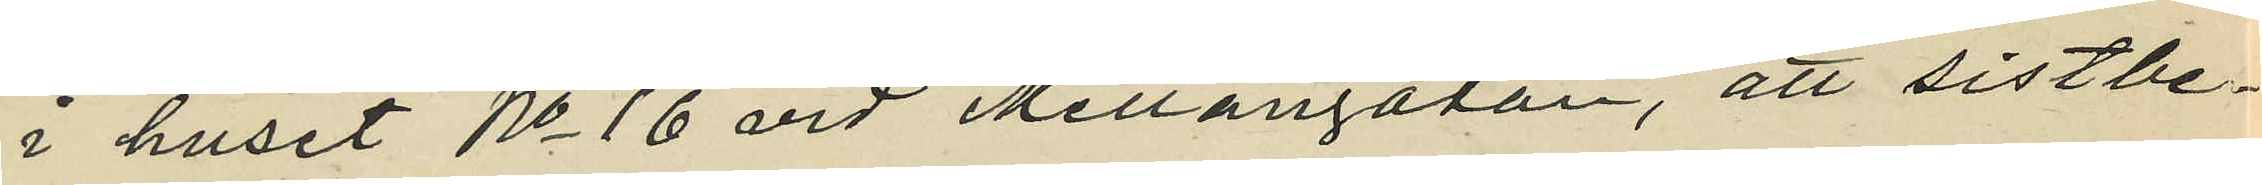i huset No 16 vid Mellangatan, att sistbe¬
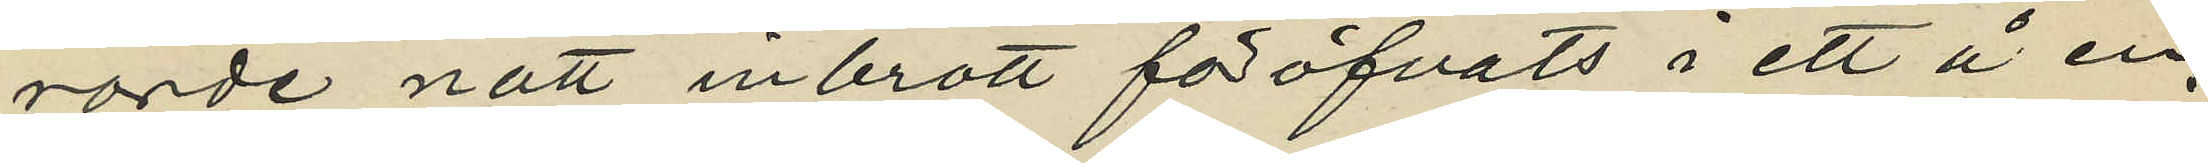rörde natt inbrott föröfvats i ett å en
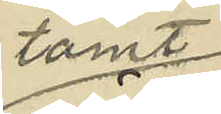tomt
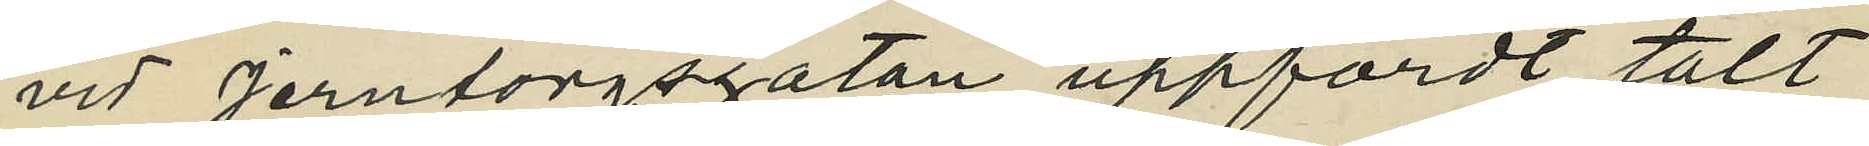vid Jerntorgsgatan uppfördt tält
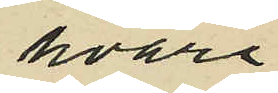hvari
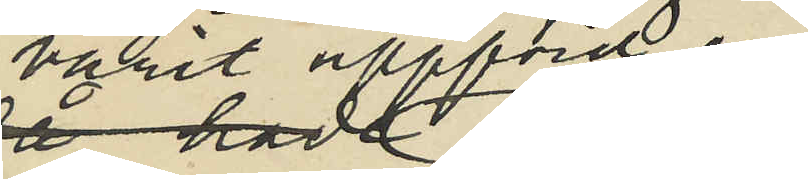varit uppförd en 
